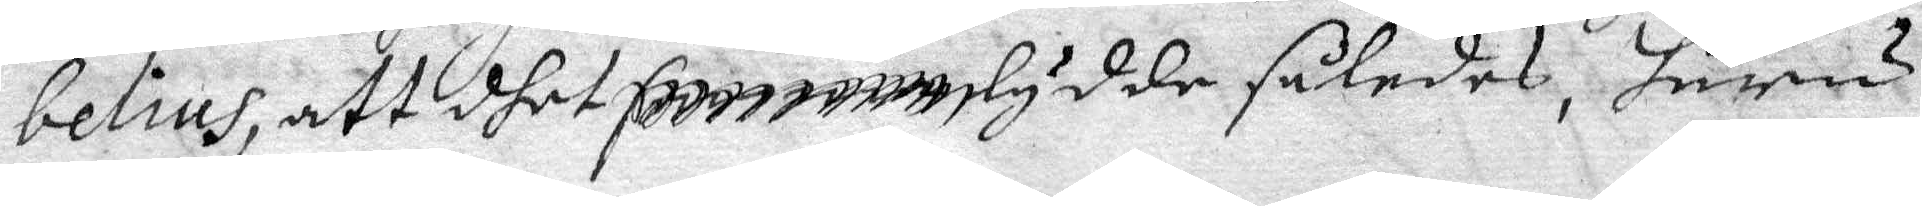belius, att dhet ....... lydde således, huru
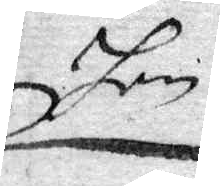hon
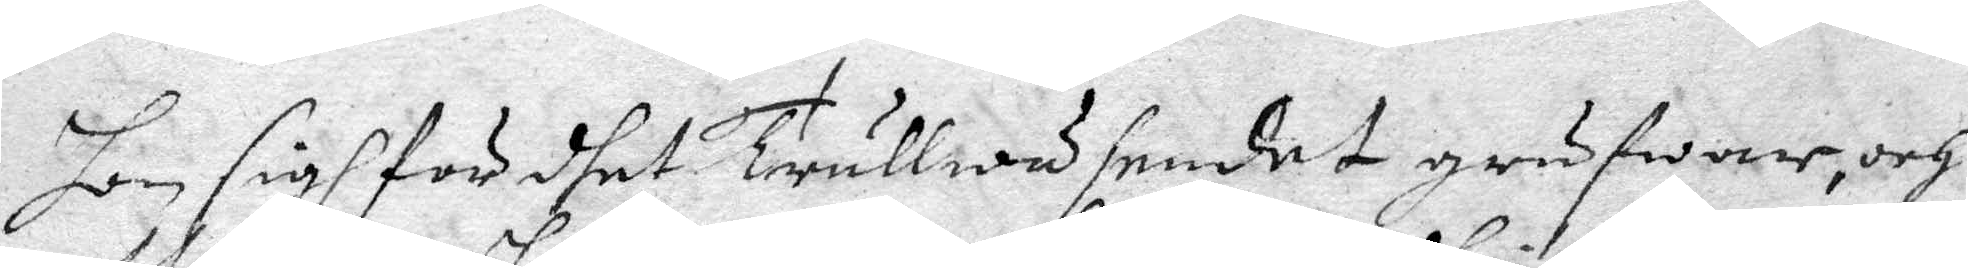hon sigh för dhet Trullwäsendet grufwar, och
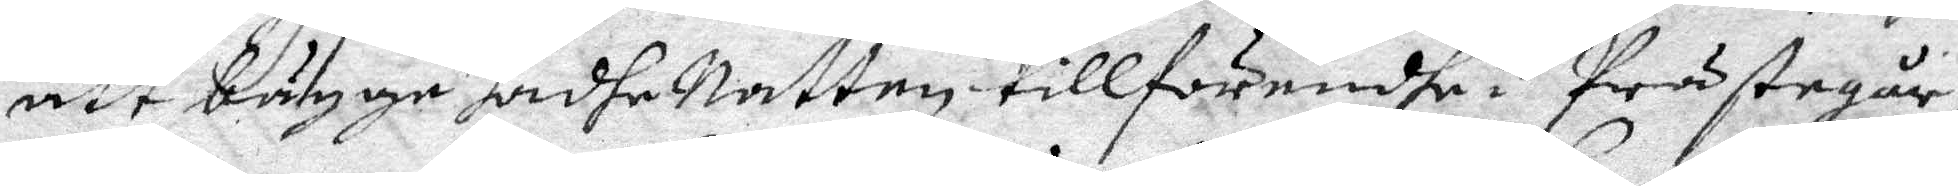att bägge hadhe Natten tillförendhe i Prästegår¬
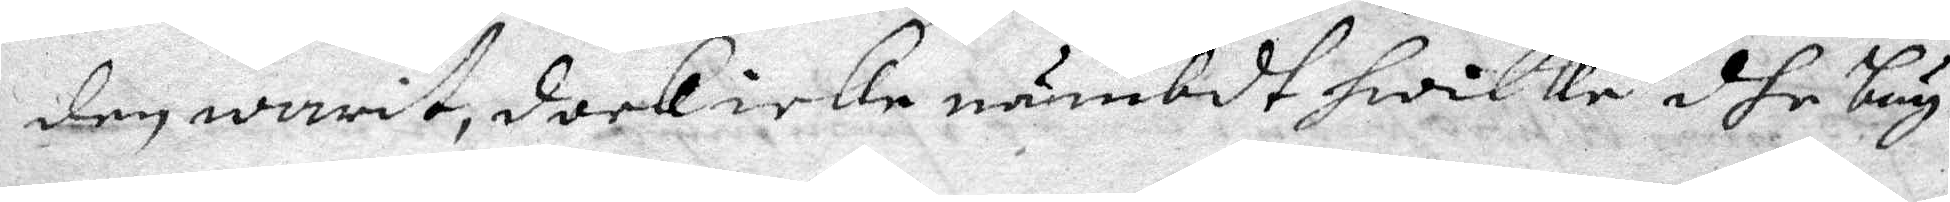den warit, doch icke nämbdt hwilke dhe bäg¬
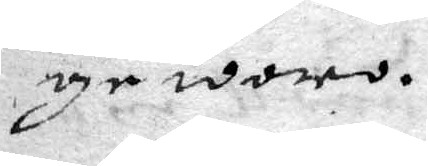ge woro.
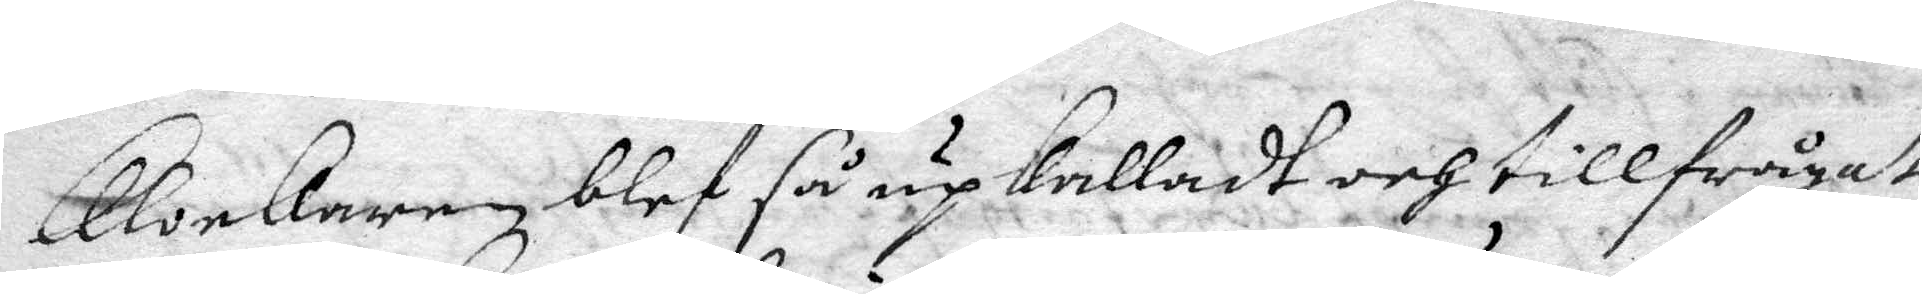Klockaren blef så upkalladt och tillfrågat
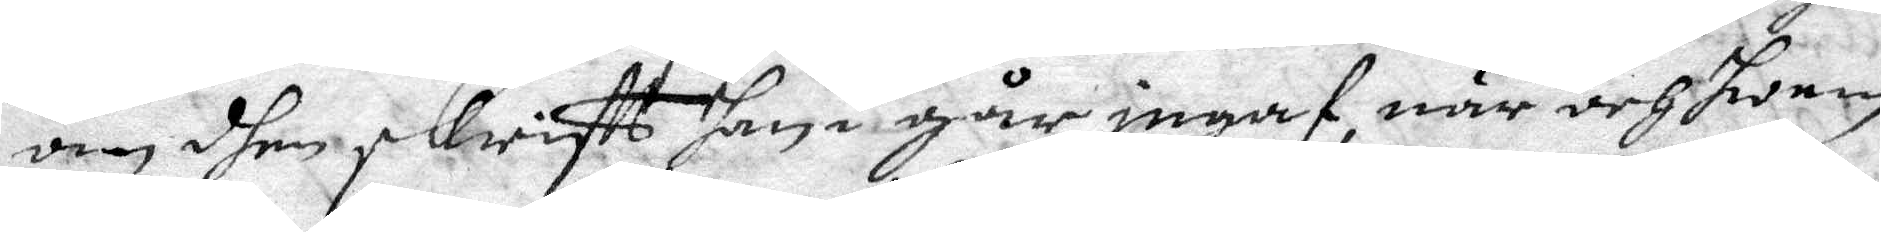om dhen skrifft han i går ingaf när och hwem
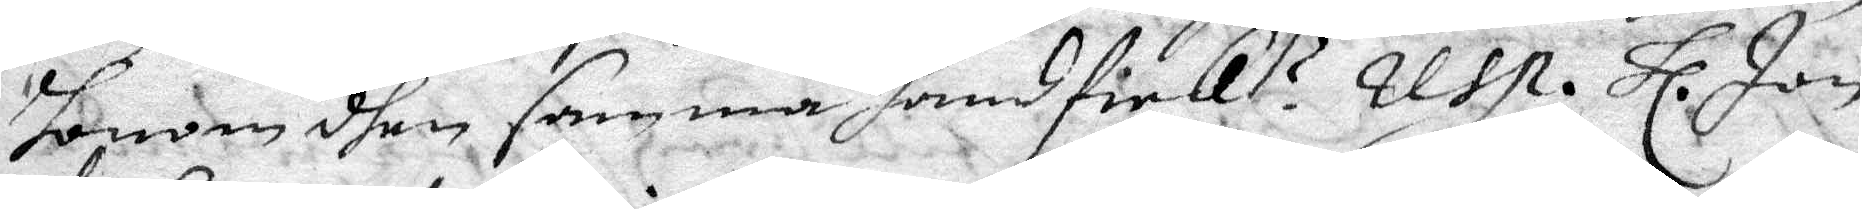honom dhen samma hand fick? resp. Hl. Jon
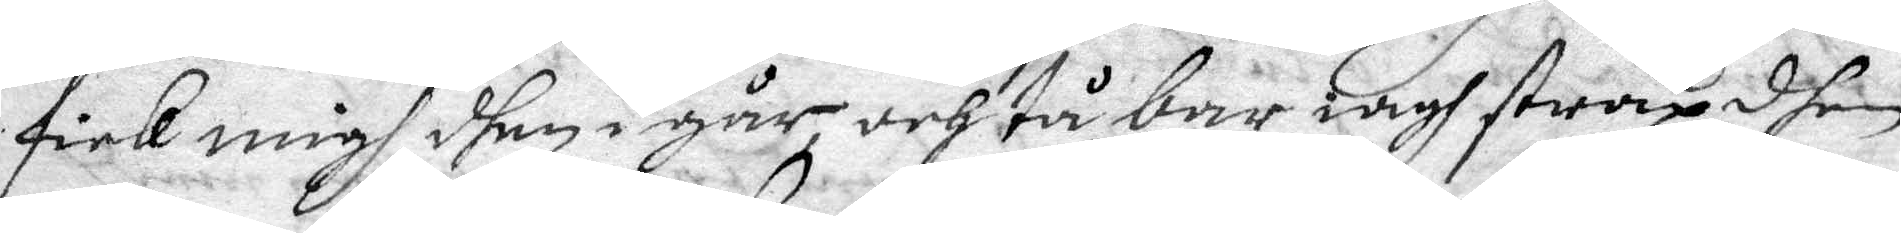fick migh dhen igår och tå bar iagh strax dhen
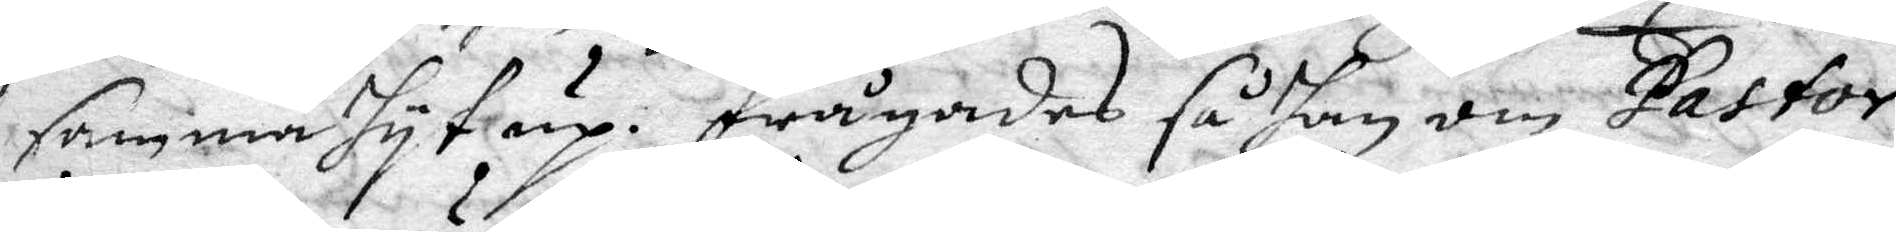samma hyt up. Frågades så han om Pastor
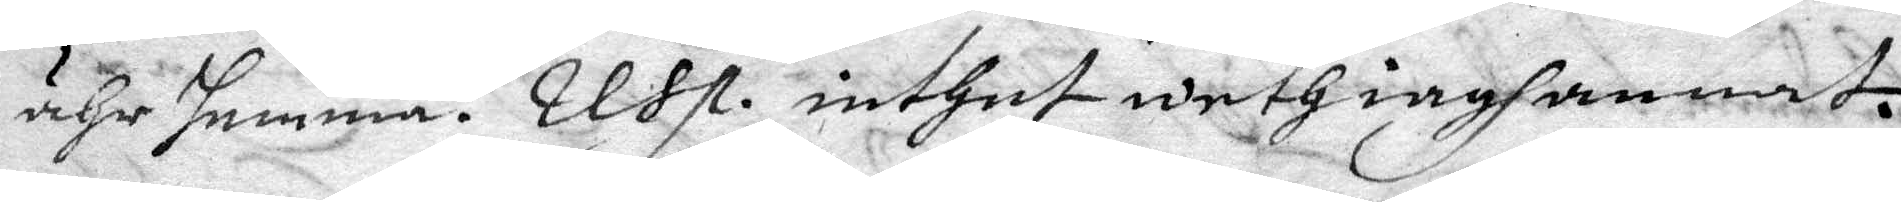ähr hemma? resp. inthet weth iagh annat.
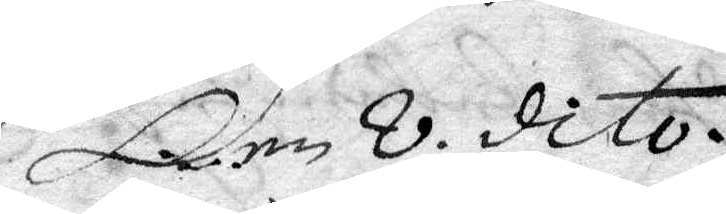Den 8 dito.
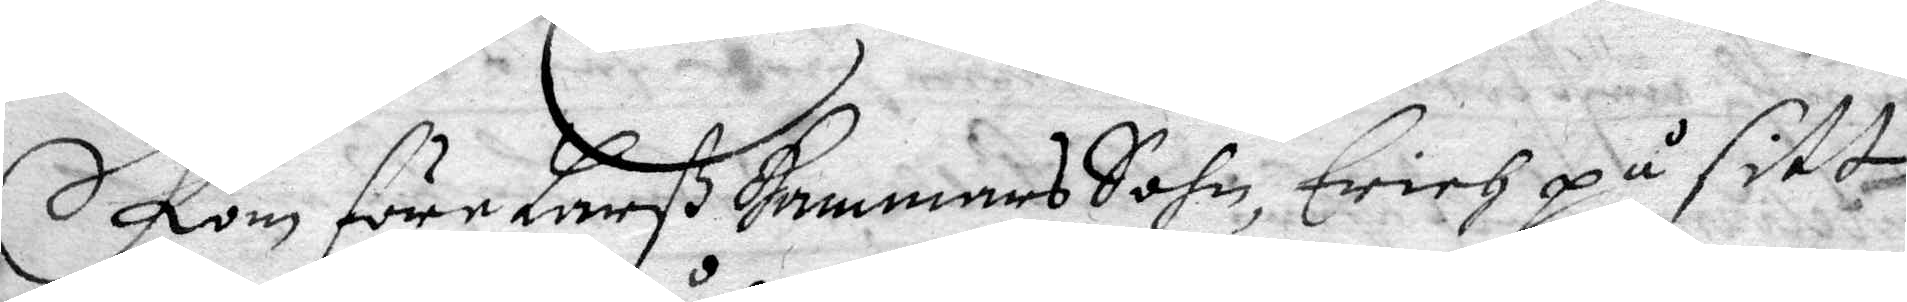Kom före Larß Hammars Sohn, Erich på sitt
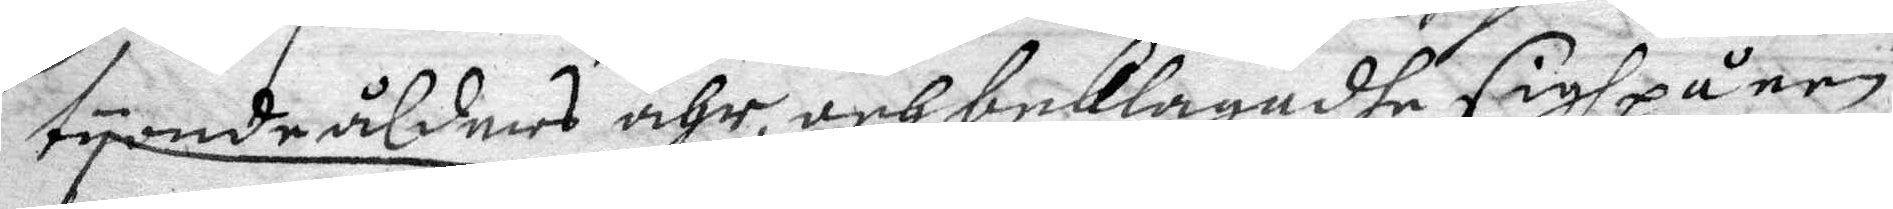tyonde ålders åhr, och beklagadhe sigh på een
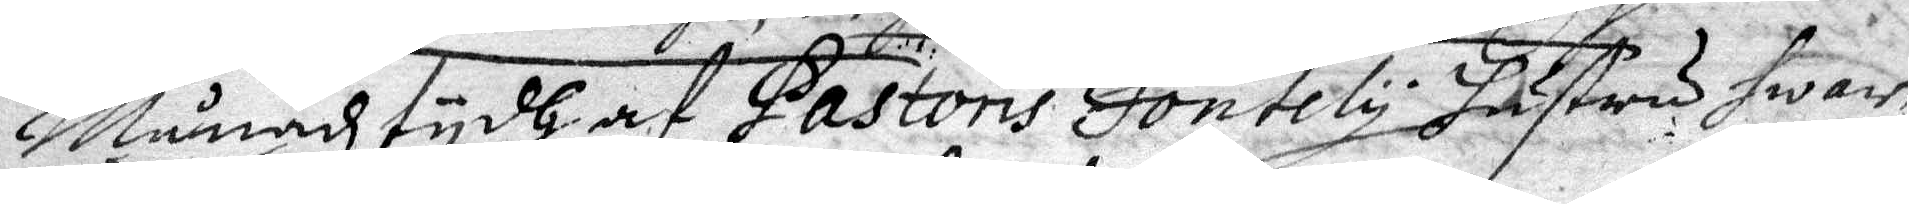Månadz tydh af Pastoris Fontely hustru hwar
